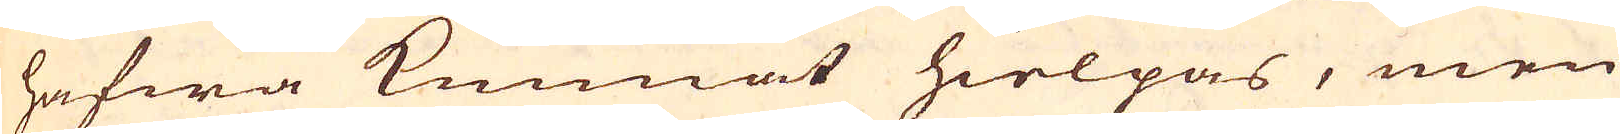hafwa kunnat hielpas, men
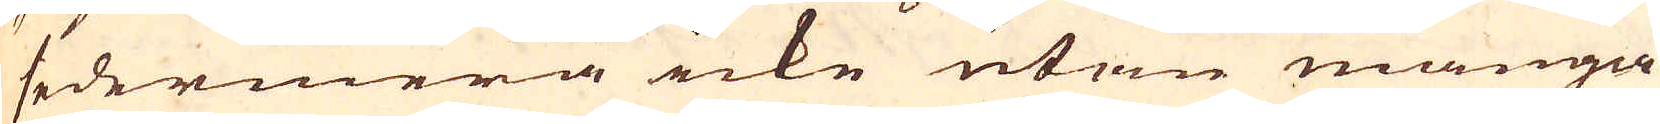sedermera icke utan många
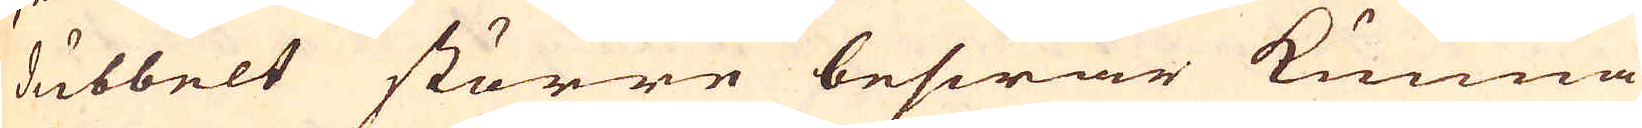dubbelt större beswär kunna
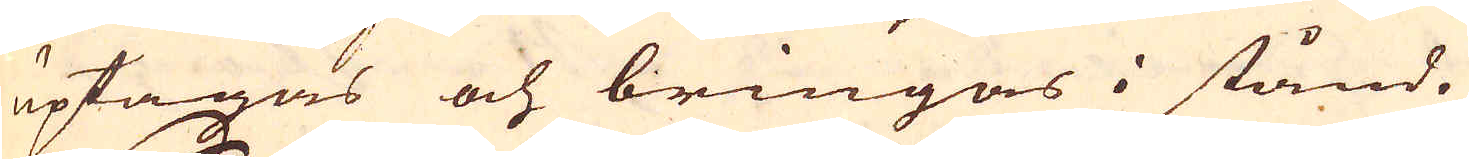uptagas och bringas i stånd.
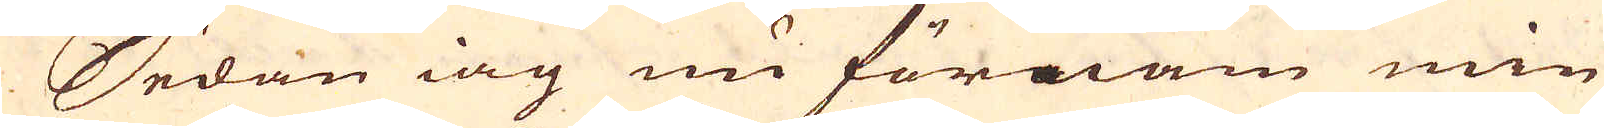Sedan iag nu förnam min
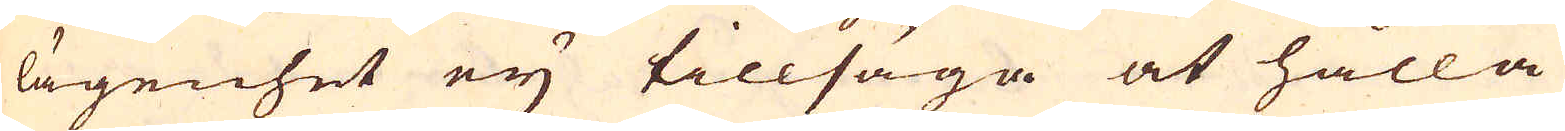lägenhet ey tillsäga at hålla
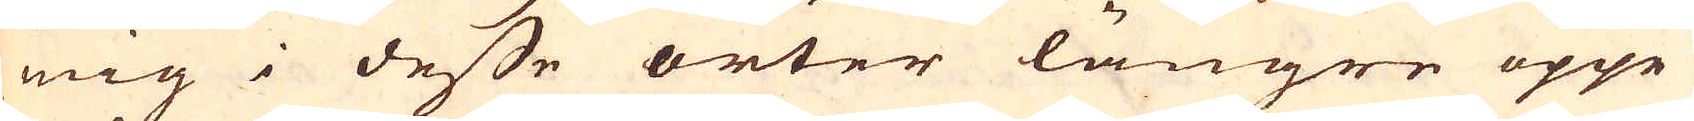mig i desse orter längre uppe,
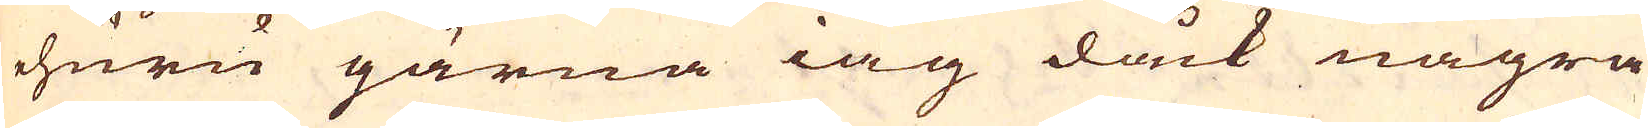huru gärna iag dåck några
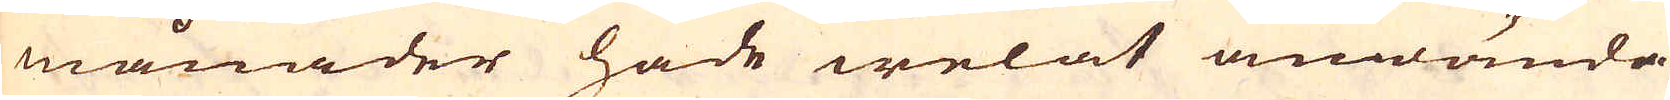månader hade welat anwända
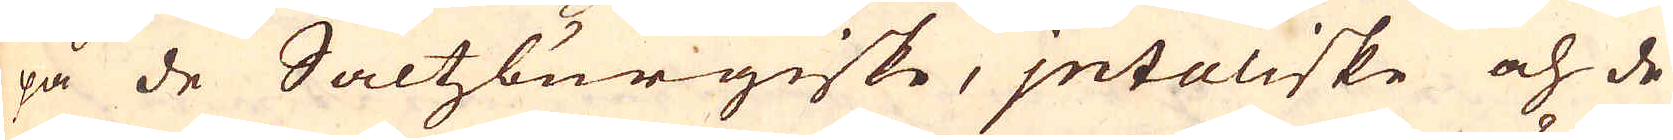på de Saltzburgiske, Jntaliske och de
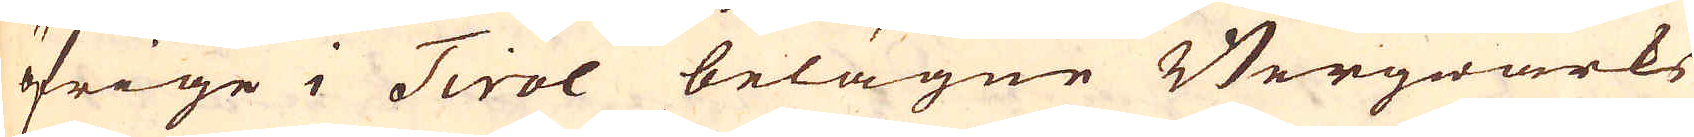öfrige i Tirol belägne Bergwärks
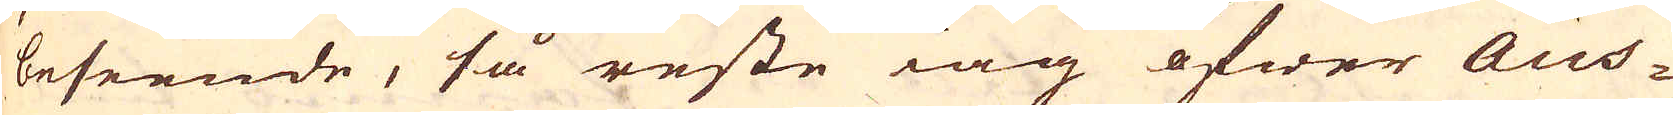beseende, så reste iag öfwer Aus-
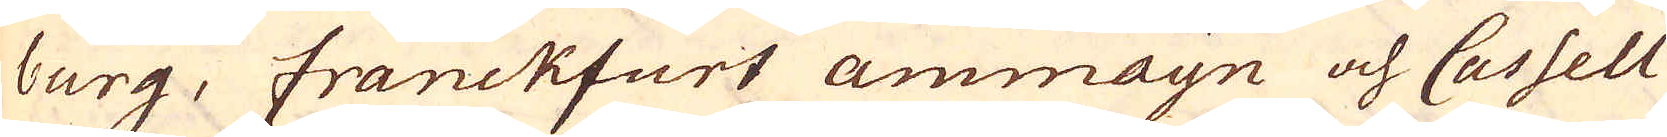burg, Franckfurt ammayn och Cassell
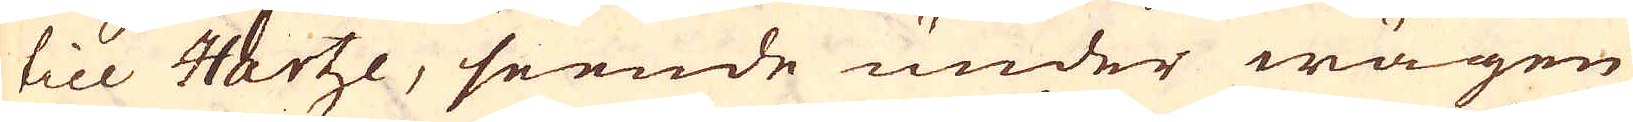till Hartze, seende under wägen
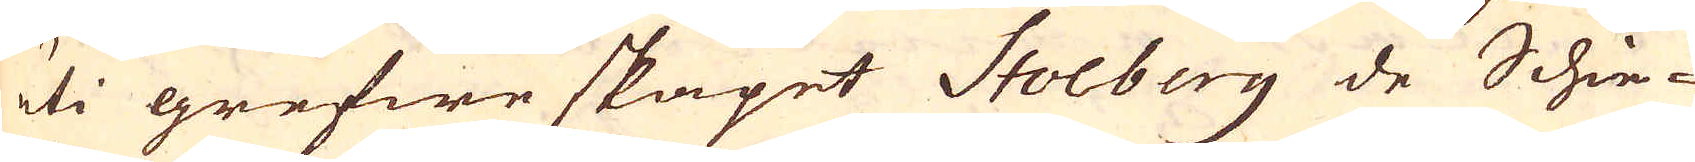uti grefwe skapet Stolberg de Schie-
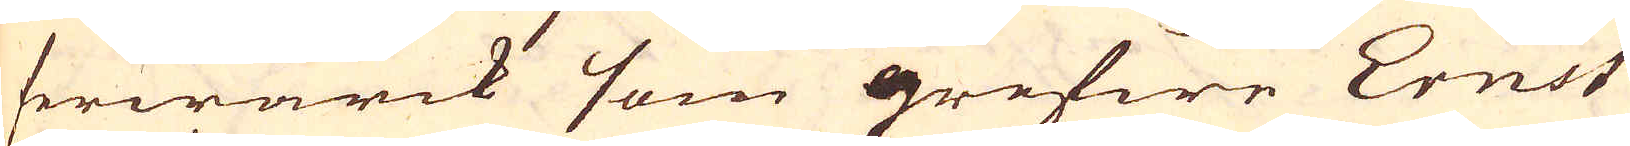ferwärck som grefwe Ernst
